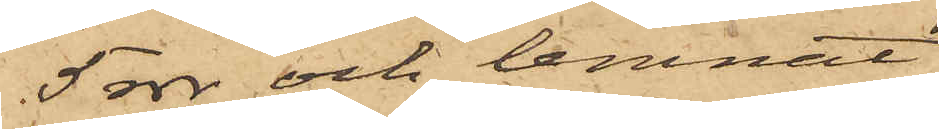5 rdr och lemnat
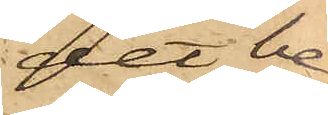det be¬
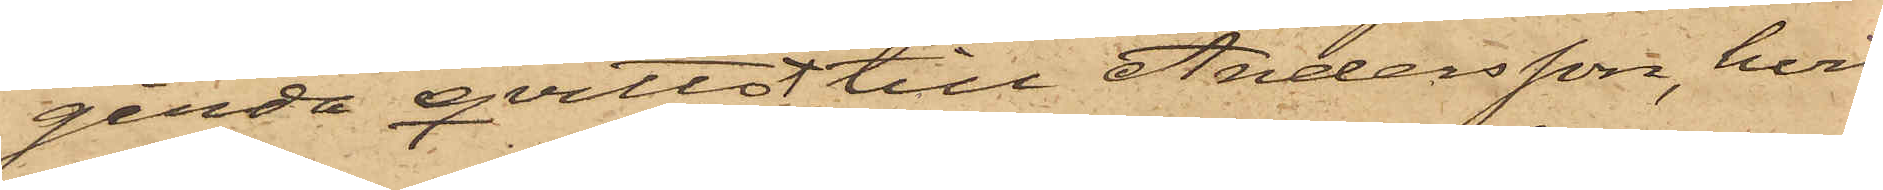gärda qvitto till Andersson, hvil¬
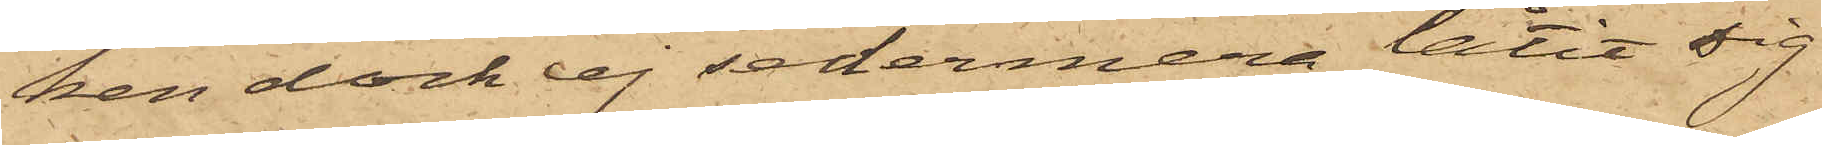ken dock ej sedermera låtit sig
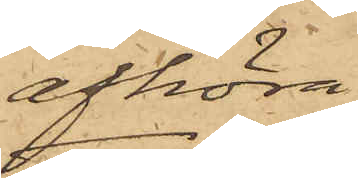afhöra.
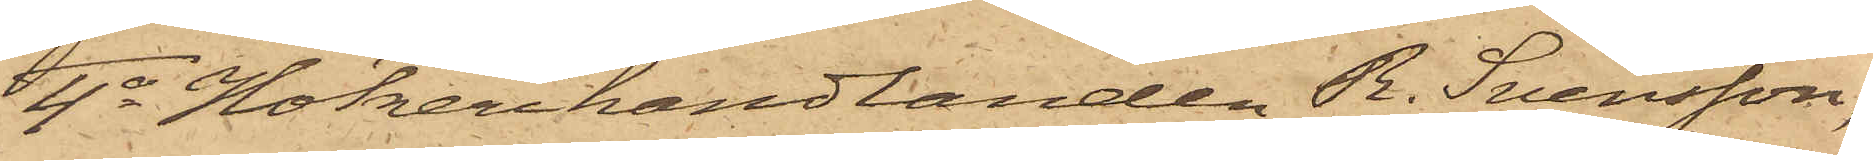4o Hökerihandlanden R. Svensson,
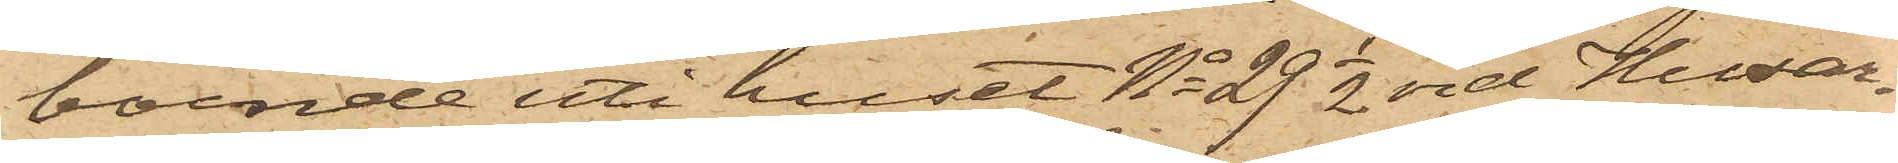boende uti huset No 29 1/2 vid Husar¬
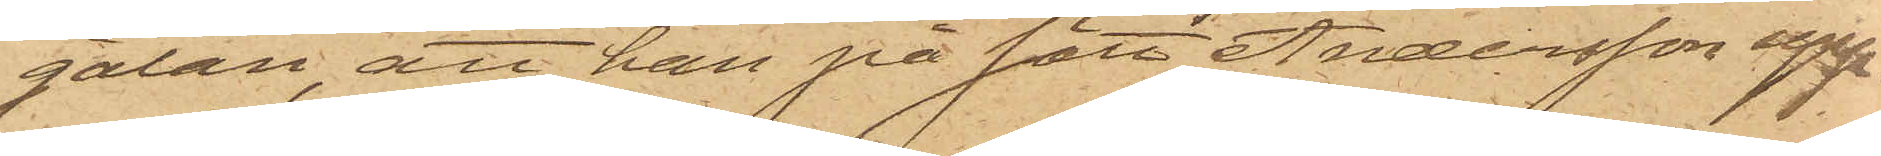gatan, att han på sätt Andersson upp¬
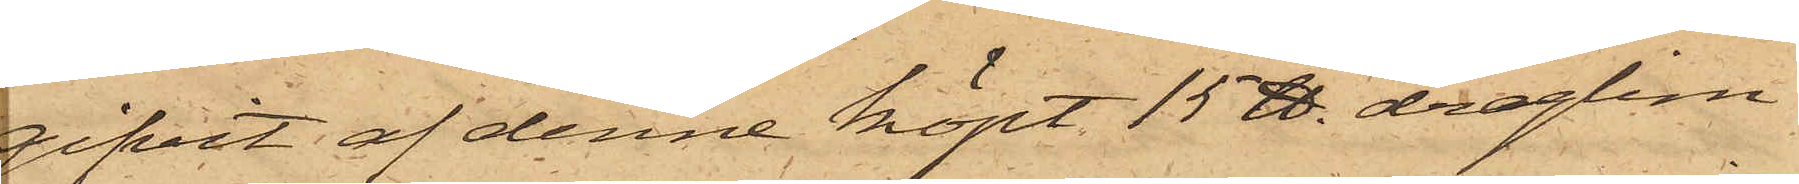gifvit af denne köpt 15 ℔ draglim
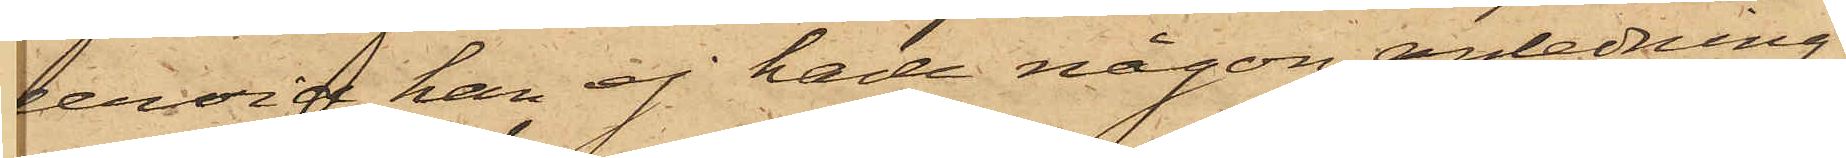dervid han ej hade någon anledning
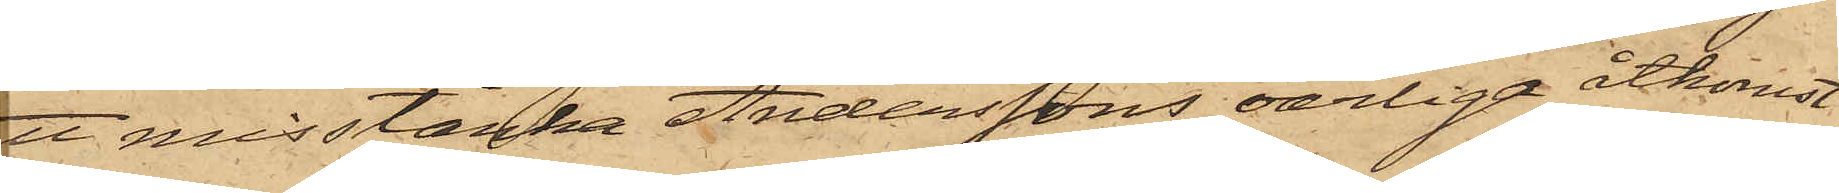att misstänka Anderssons oärliga åtkomst
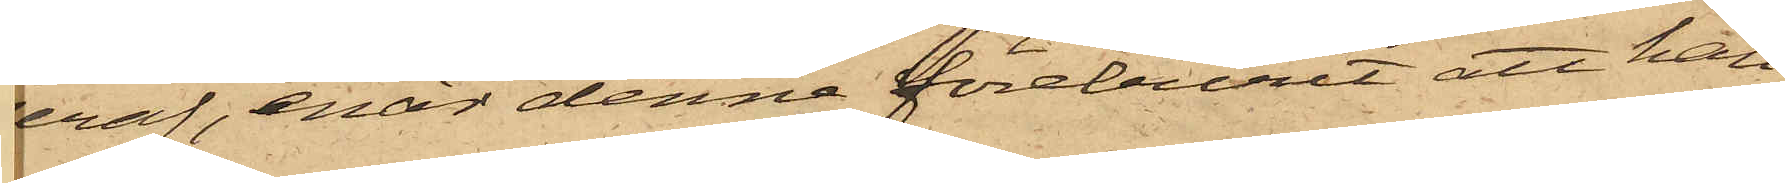deraf, enär denna föreburit att han
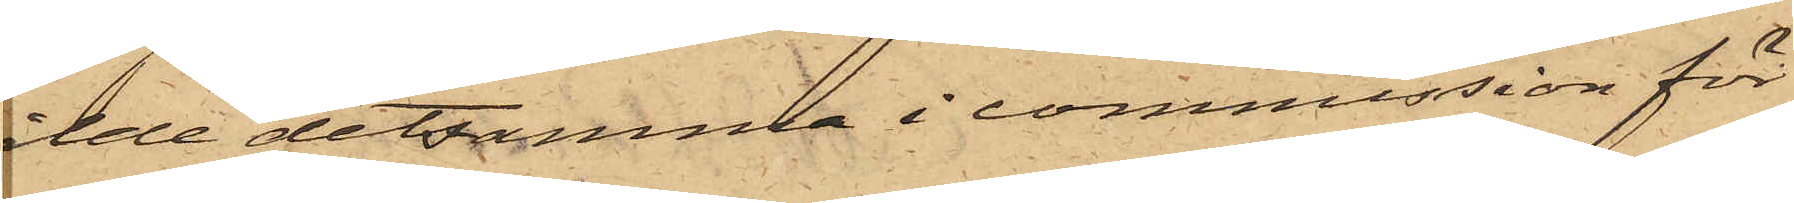sålde detsamma i kommission för
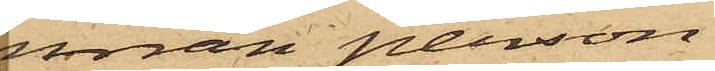nnan person.
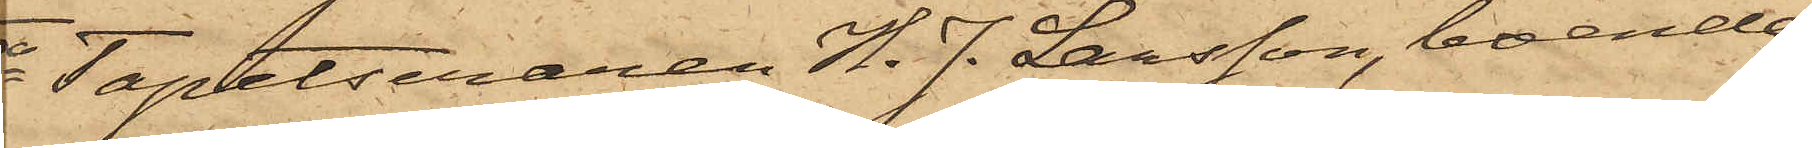5o Tapetseraren H. J. Larsson, boende
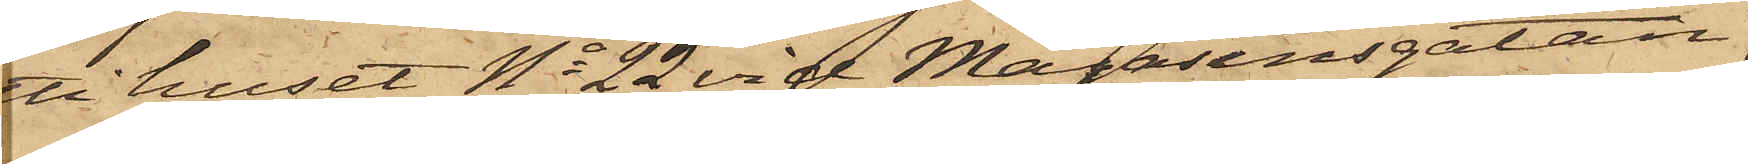uti huset No 22 vid Magasinsgatan,
